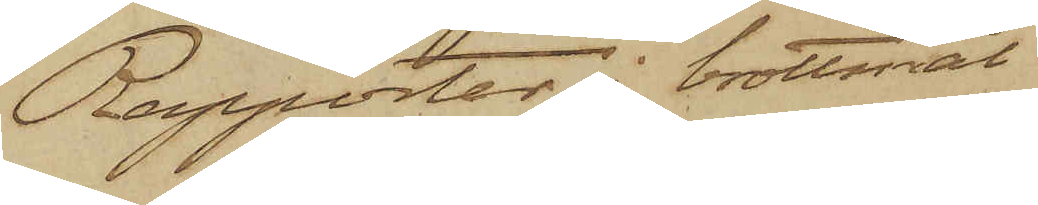Rapporter i brottsmål
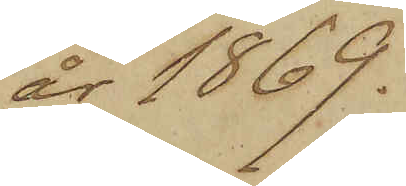år 1869.
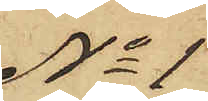No 1
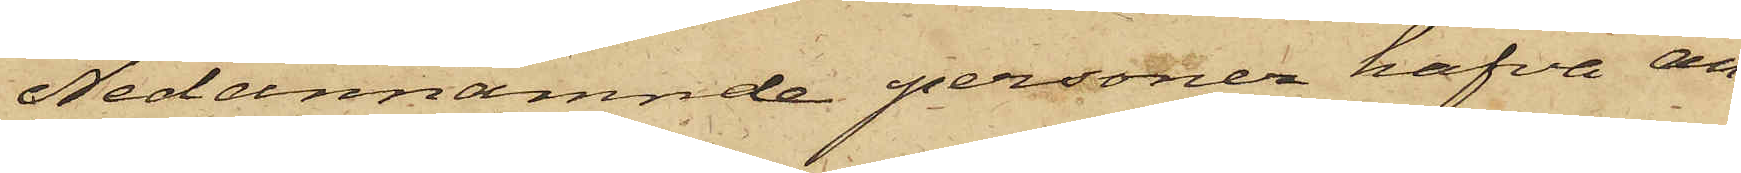Nedannämnde personer hafva an¬
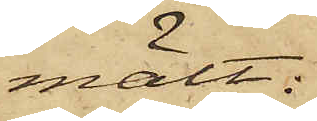mält:
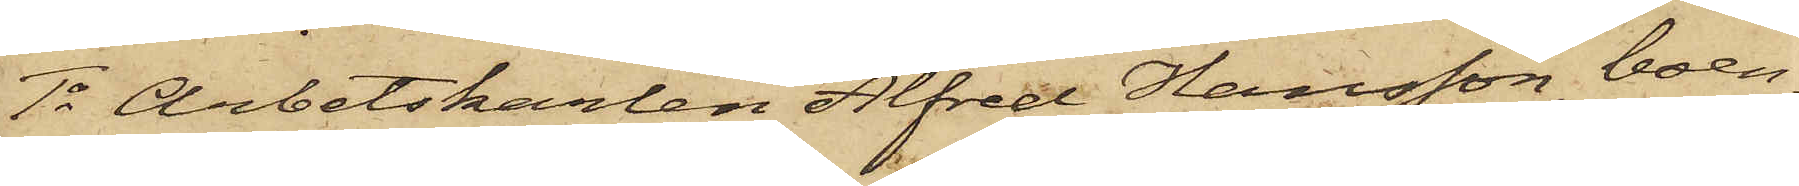1o Arbetskarlen Alfred Hansson, boen¬
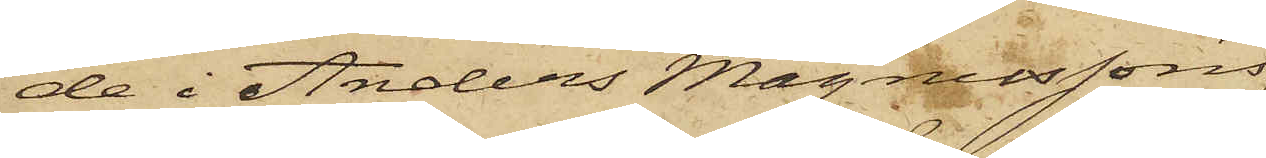de i Anders Magnussons
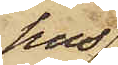hus
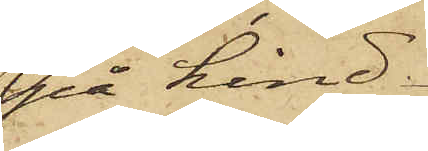på Lind¬
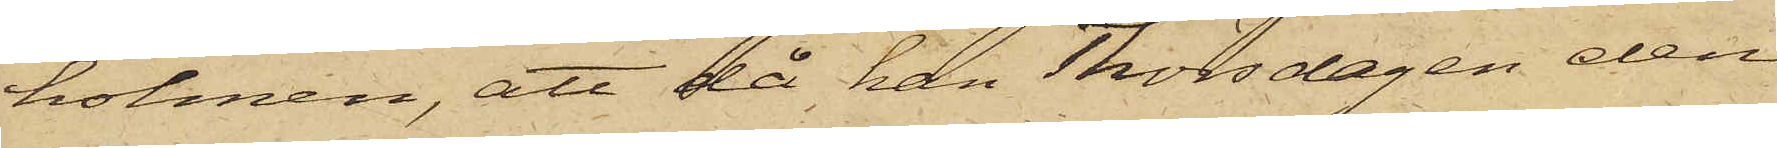holmen, att då han Thorsdagen den
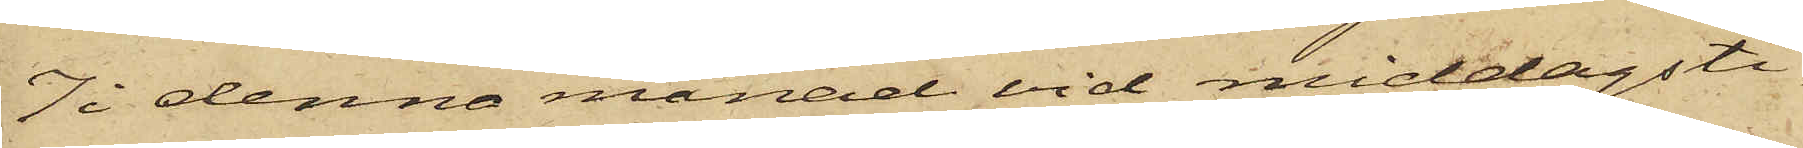7 i denna månad vid middagsti¬
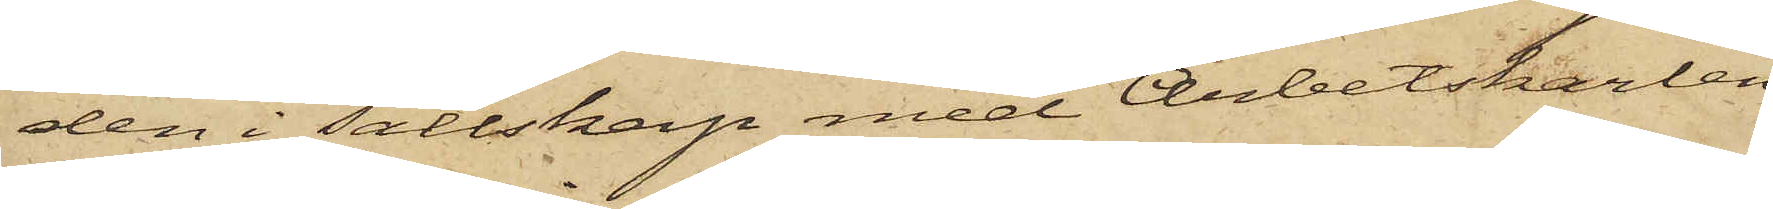den i sällskap med Arbetskarlen
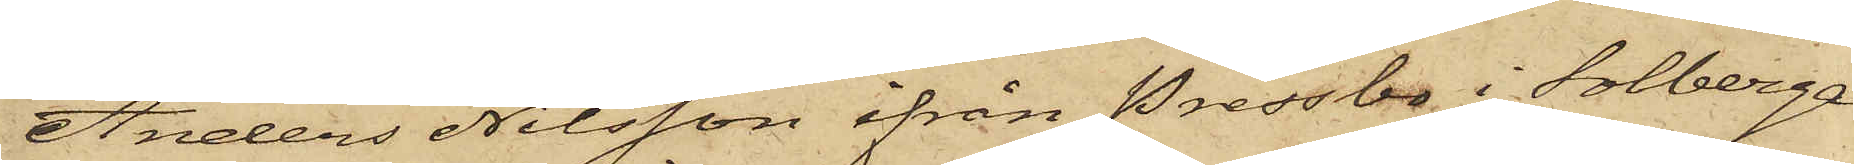Anders Nilsson ifrån Pressbo i Solberga
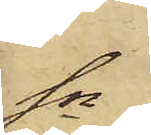Sn
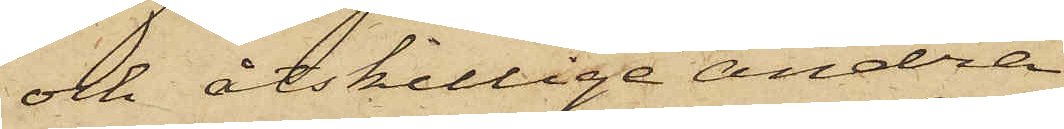och åtskillige andra
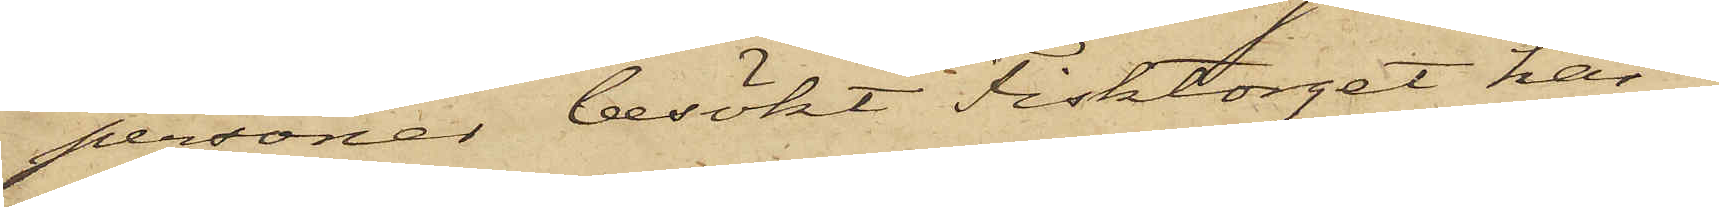personer besökt Fisktorget här i
